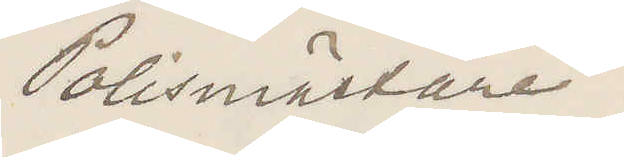Polismästare.
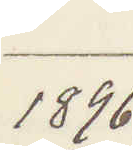1896
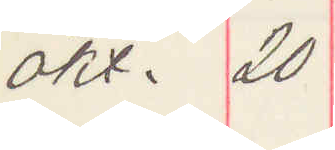okt. 20
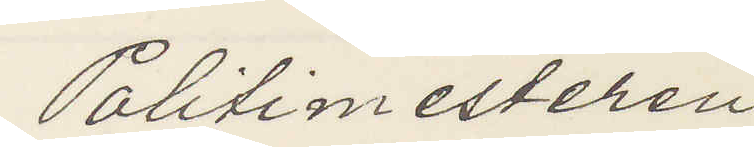Politimesteren
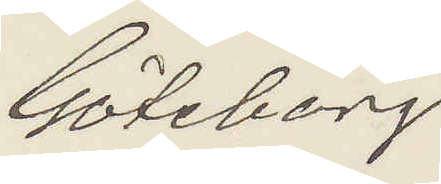Göteborg
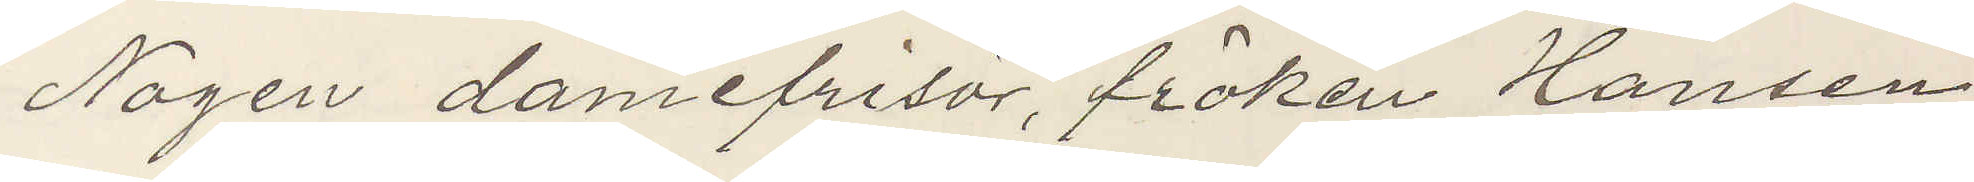Nogen damefrisör, fröken Hansen
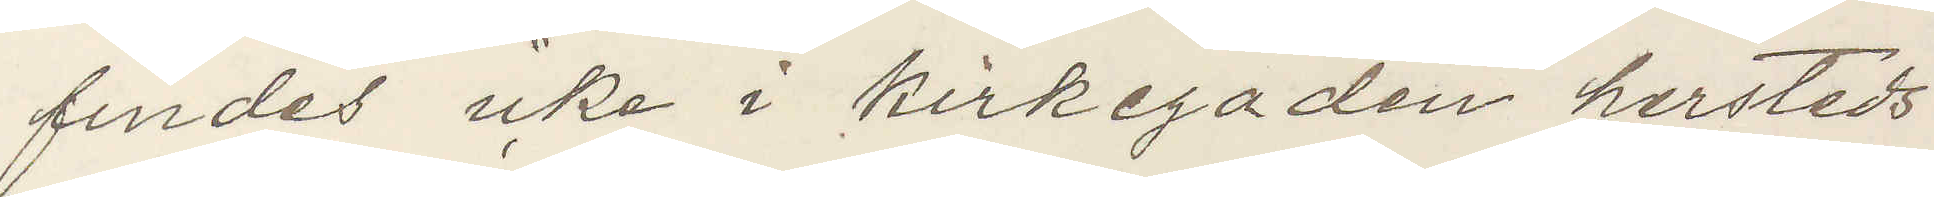findes icke i Kirkegaden hersteds
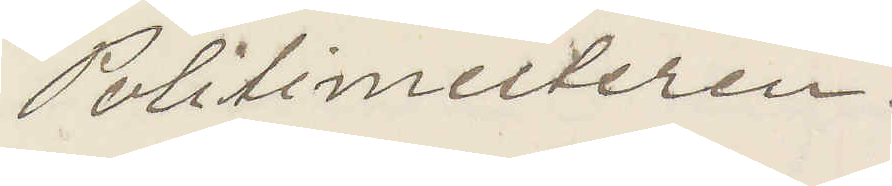Politimesteren
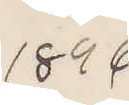1896
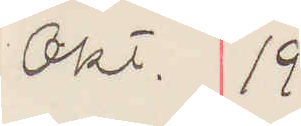Okt. 19
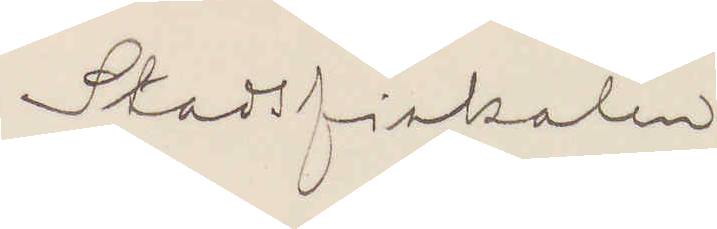Stadsfiskalen
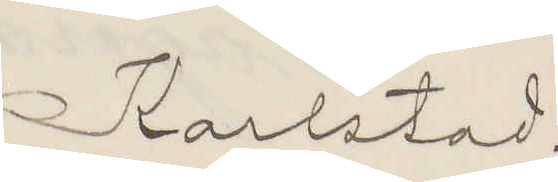Karlstad.
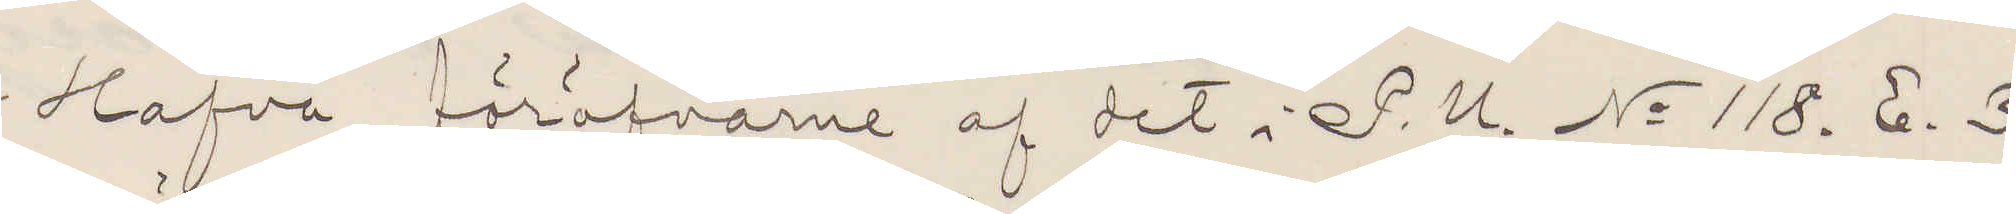Hafva föröfvarne af det i P. U. No 118. E. 3.
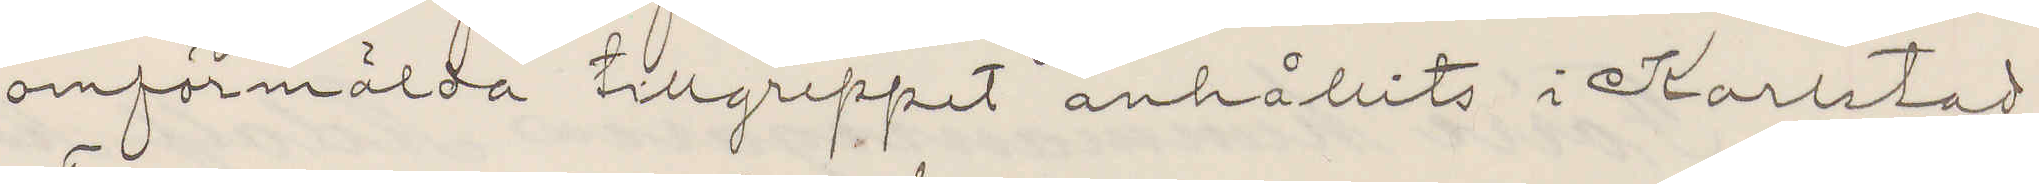omförmälda tillgreppet anhållits i Karlstad.
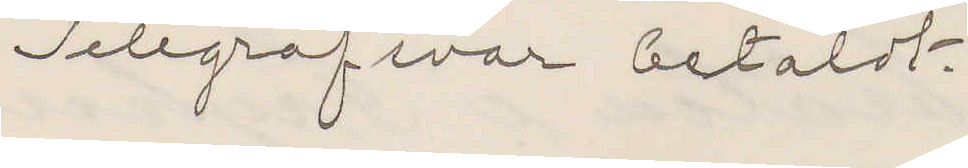Telegrafsvar betaldt.
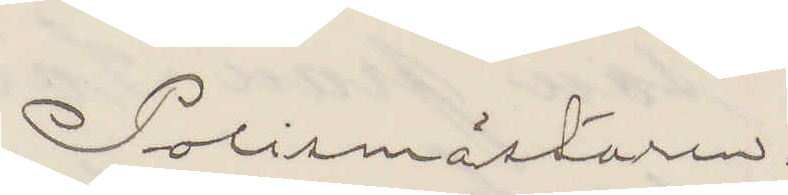Polismästaren.
